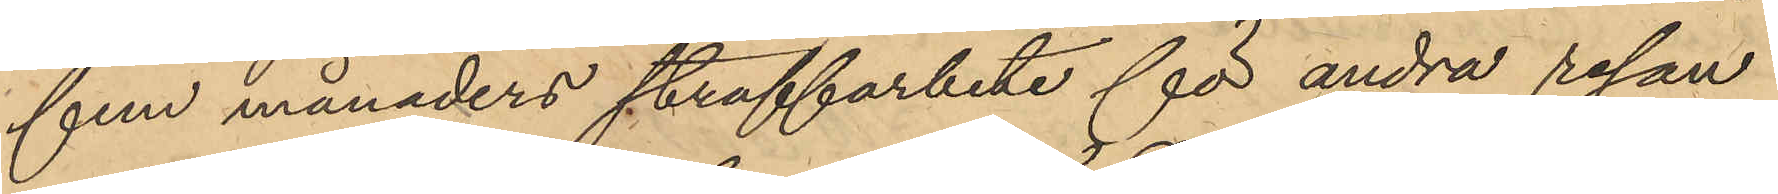fem månaders straffarbete för andra resan
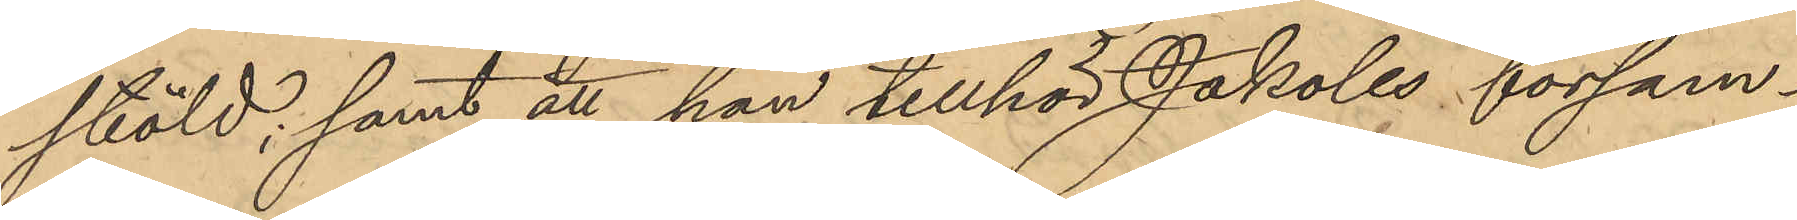stöld; samt att han tillhör Jakobs försam¬
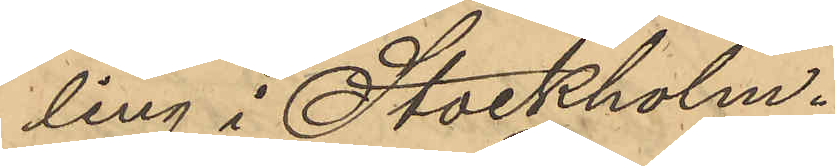ling i Stockholm.
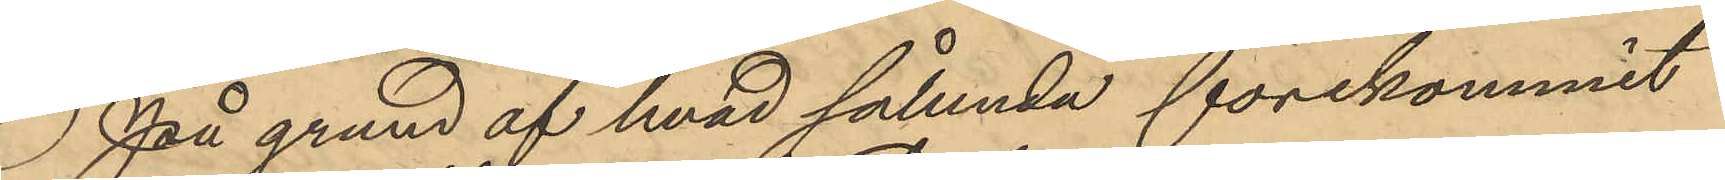På grund af hvad sålunda förekommit
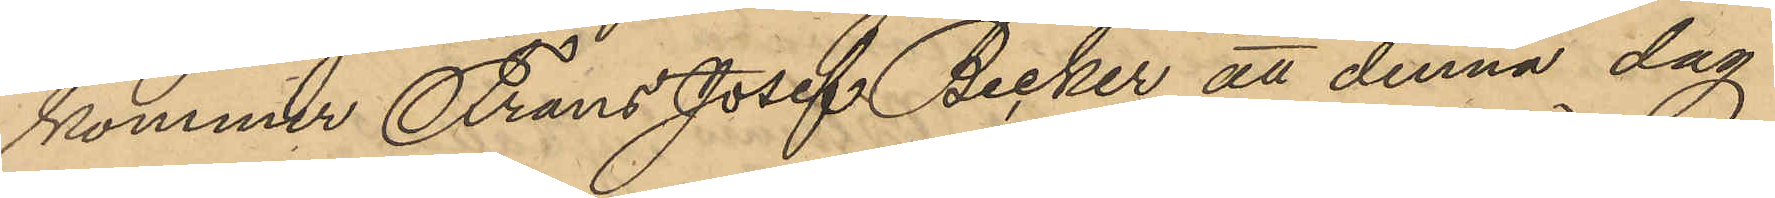kommer Frans Josef Becker att denna dag
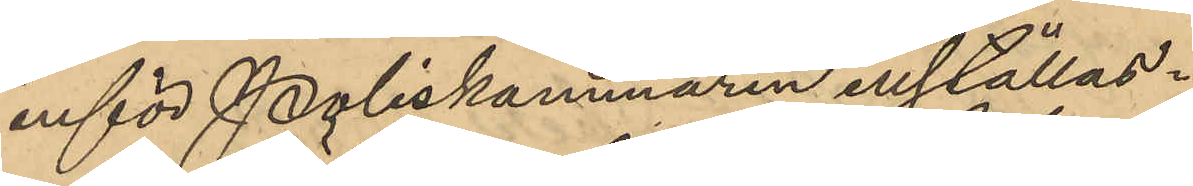inför Poliskammaren inställas.
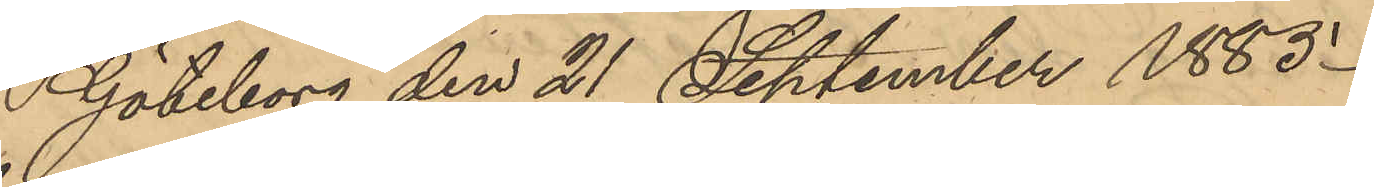Göteborg den 21 September 1885.
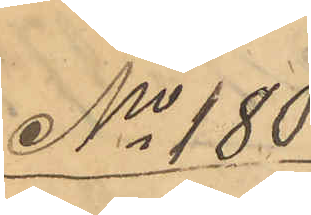No 180
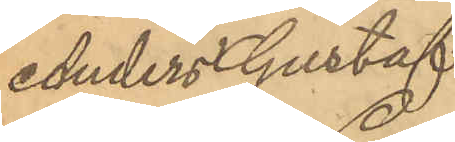Anders Gustaf
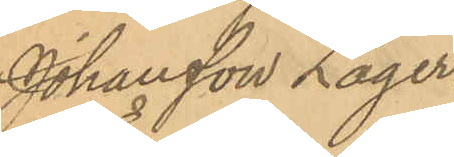Johansson Lager¬
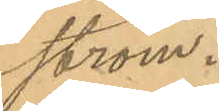ström.
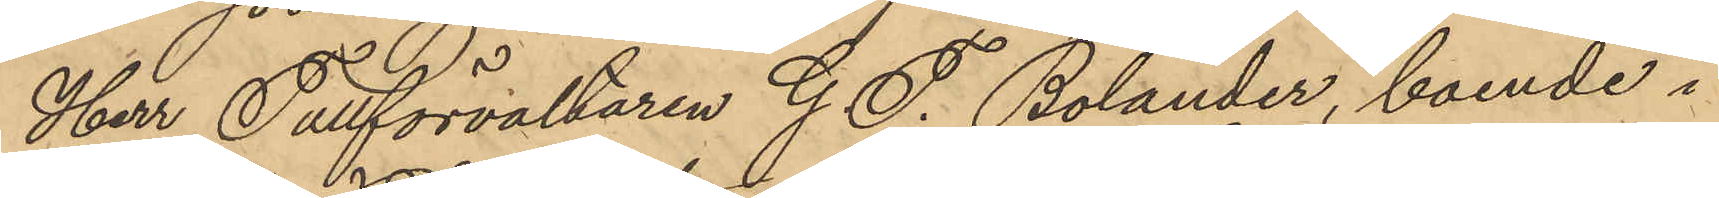Her Tullförvaltaren G. F. Bolander, boende i
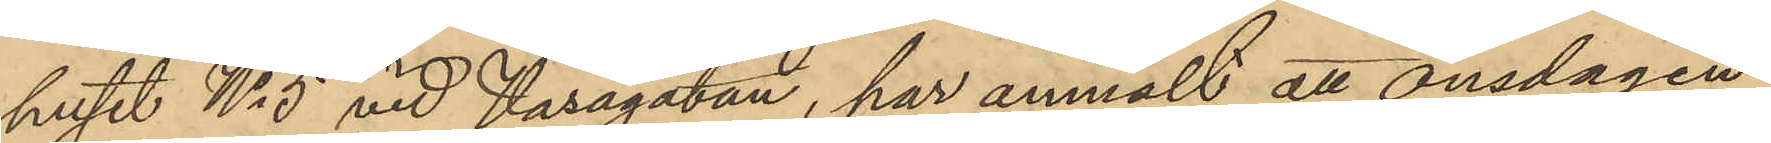huset No 5 vid Vasagatan, har anmält att onsdagen
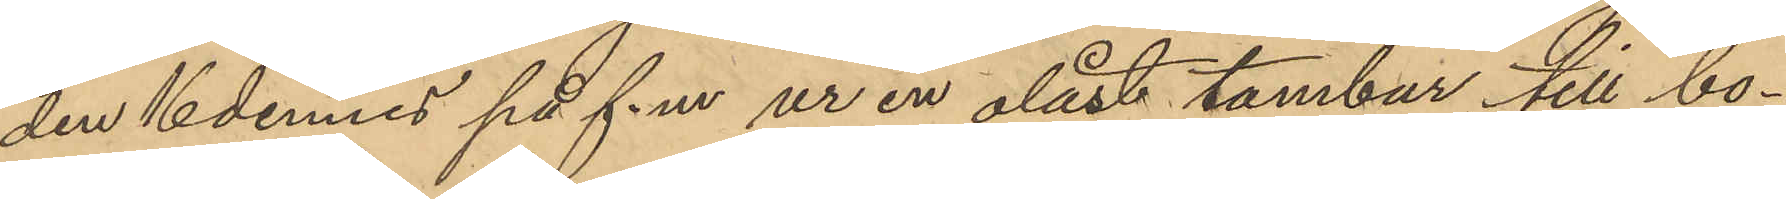den 16 dennes på f.m. ur en olåst tambur till bo¬
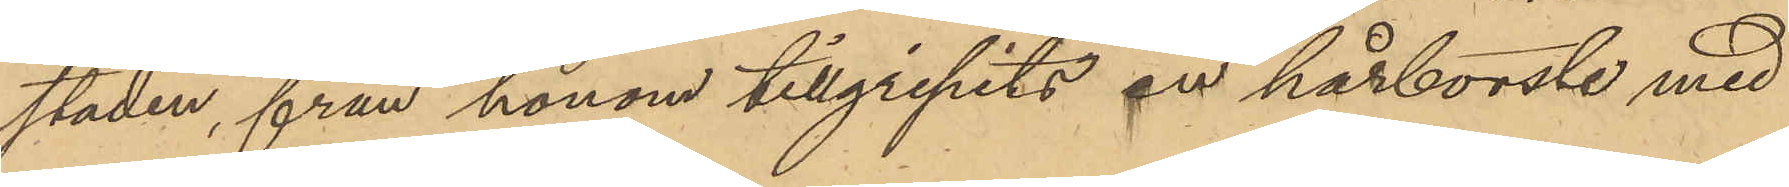staden, från honom tillgripits en hårborste med
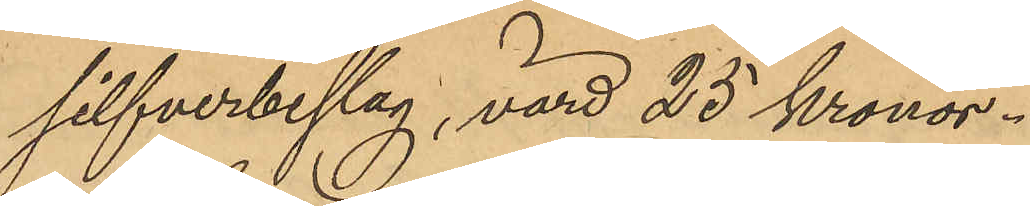silfverbeslag, värd 25 Kronor.
